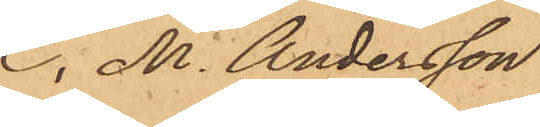C. M. Andersson
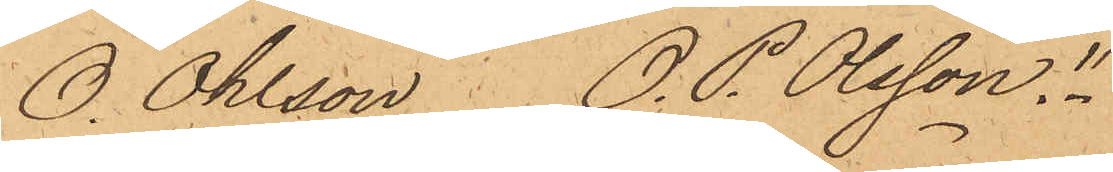O. Ohlson. O. P. Olsson."
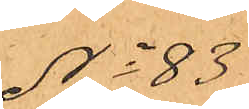No 83
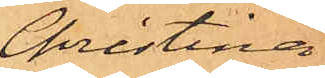Christina
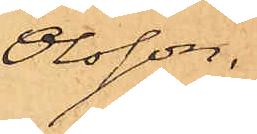Olsson.
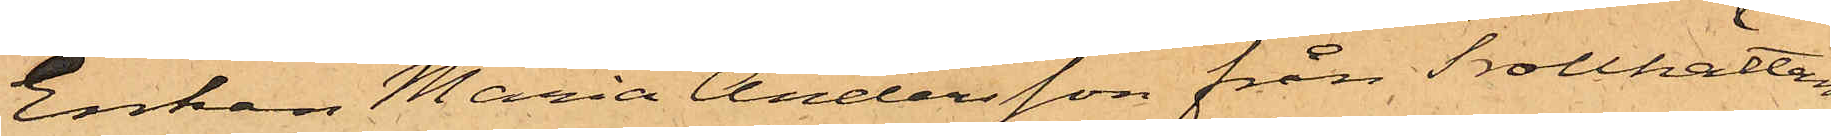Enkan Maria Andersson från Trollhättan
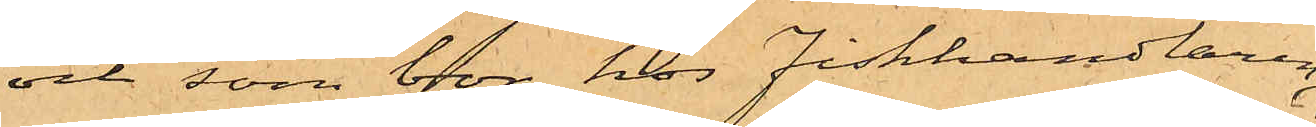och som bor hos Fiskhandlaren
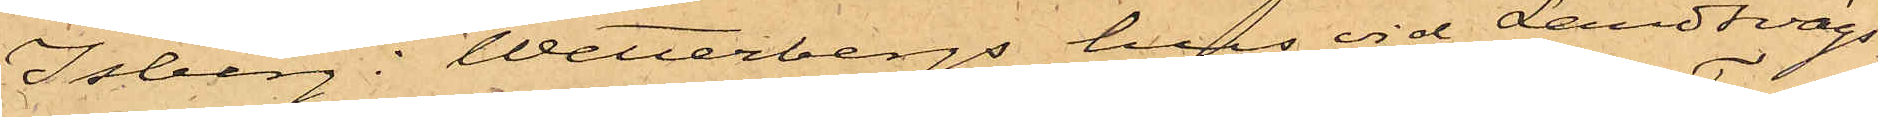Isberg i Wetterbergs hus vid Landsvägs¬
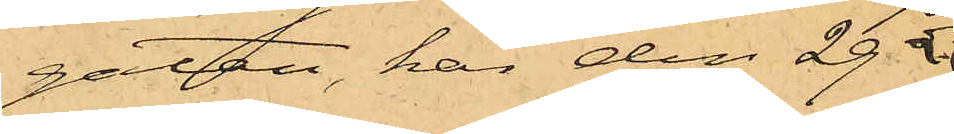gatan, har den 29 
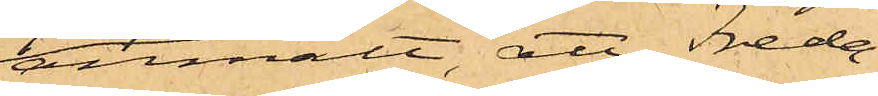anmält, att Freda¬
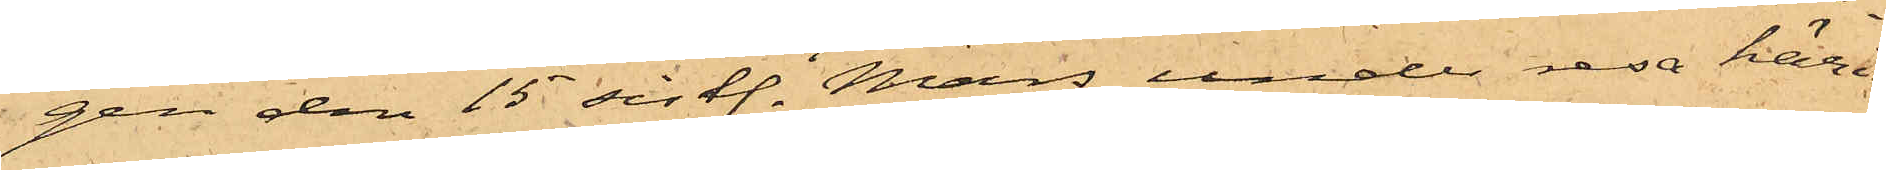gen den 15 sistl. Mars under resa häri¬
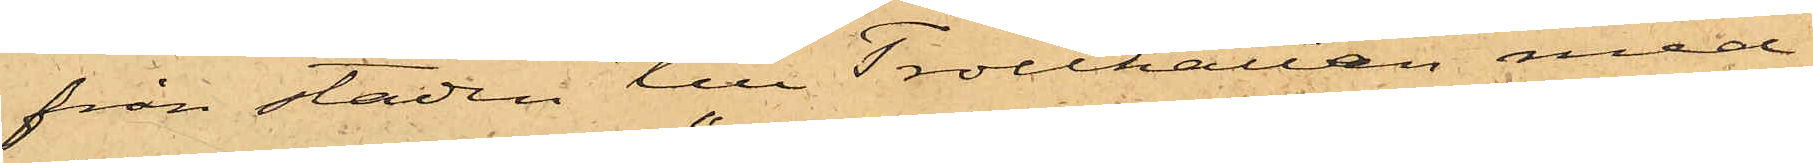från staden till Trollhättan med
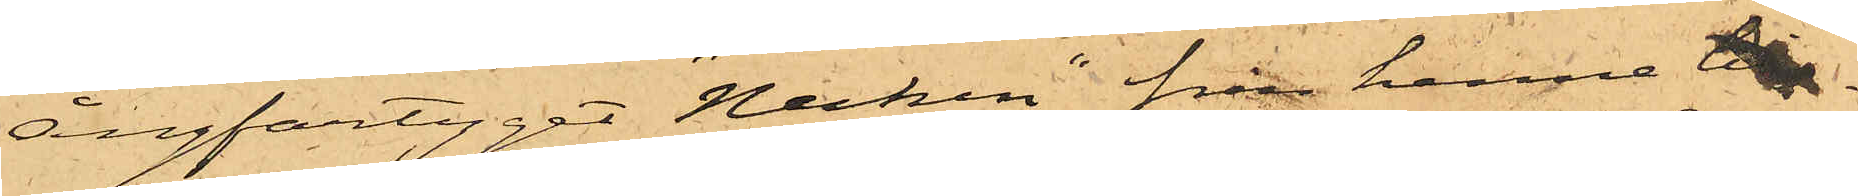Ångfartyget "Necken", från henne till¬
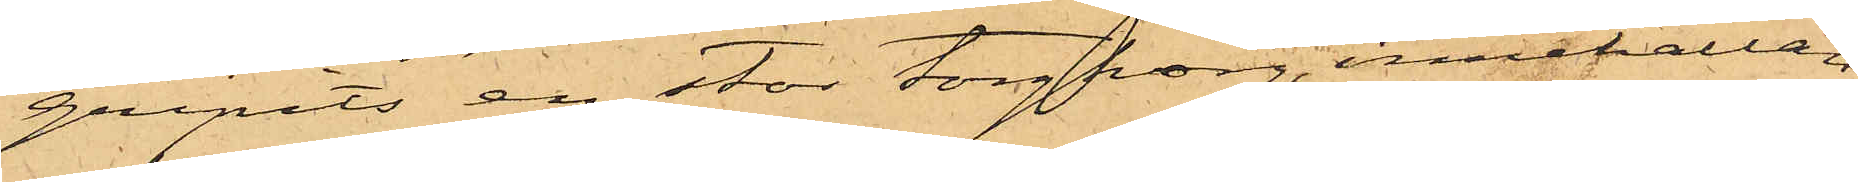gripits en stor torgkorg, innehållan¬
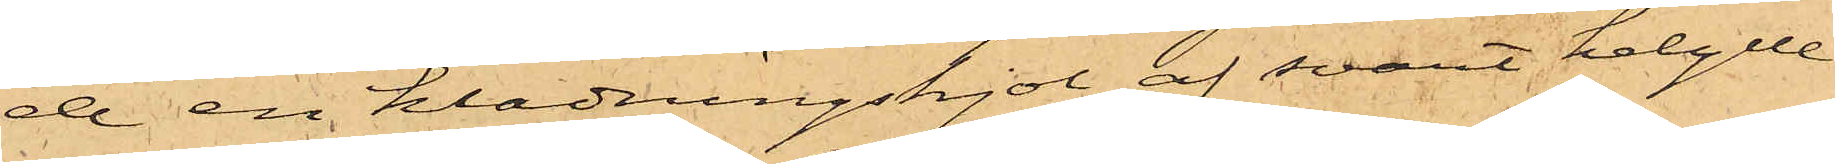de en klädningskjol af svart helylle
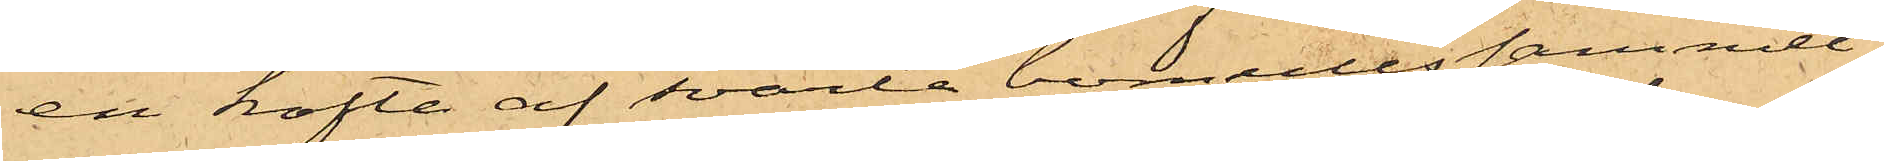en kofta af svarta bomullssammet,
